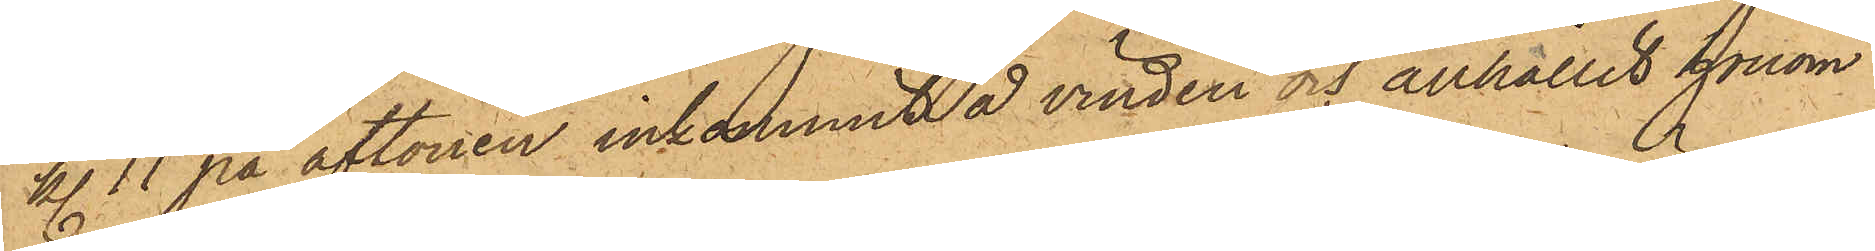kl. 11 på aftonen inkommit å vinden och anhållit honom.
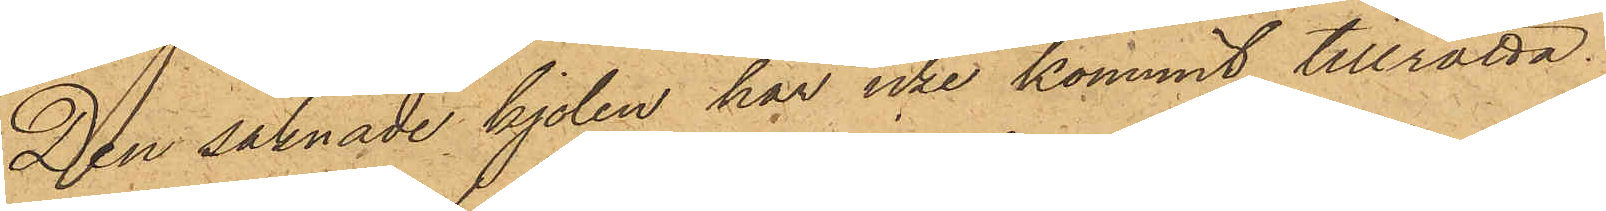Den saknade kjolen har icke kommit tillrätta.
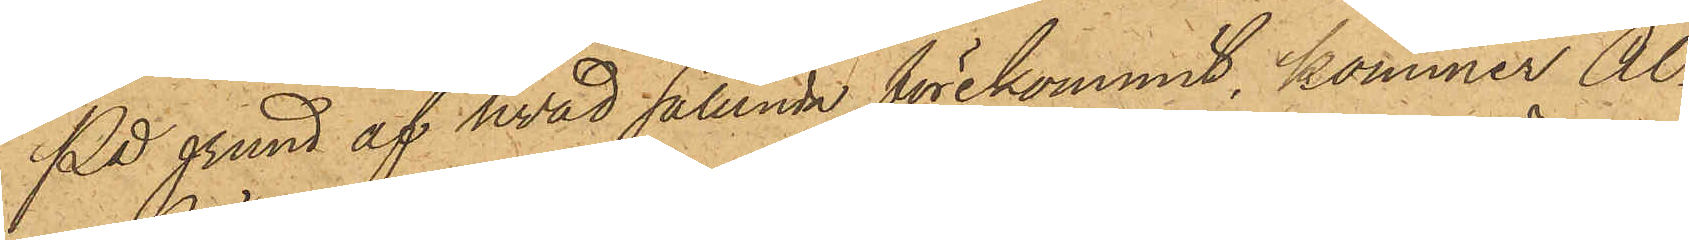På grund af hvad sålunda förekommit, kommer Al¬
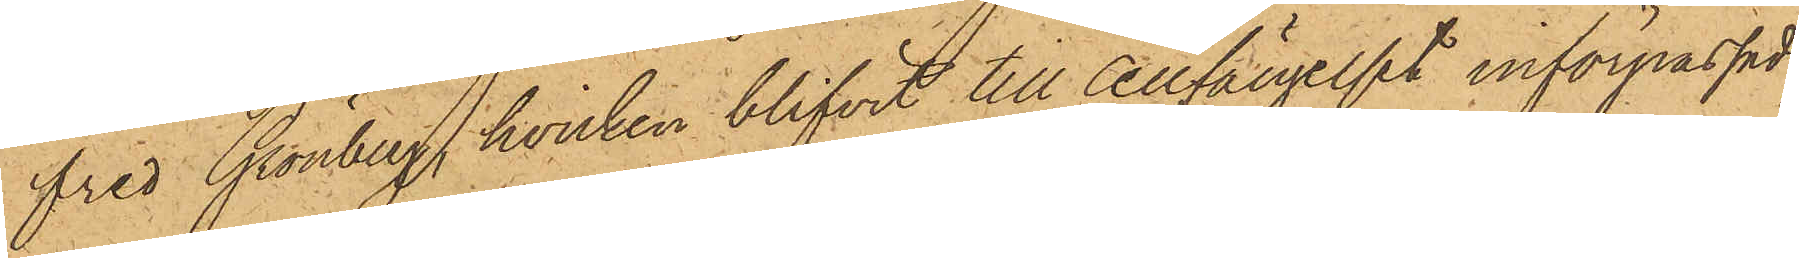fred Grönberg, hvilken blifvit till Cellfängelset införpassad,
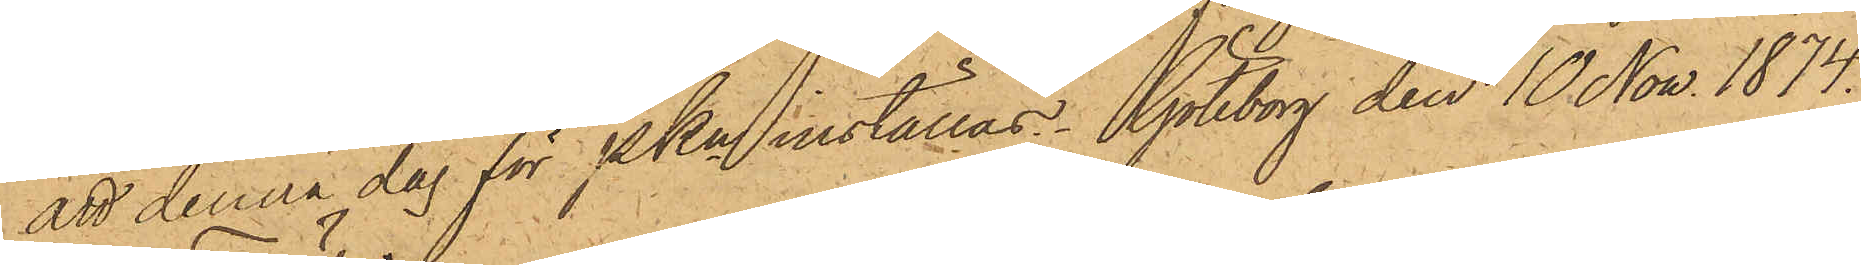att denna dag för Pkn inställas. Göteborg den 10 Nov. 1874.
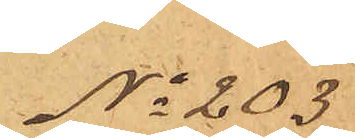No 203
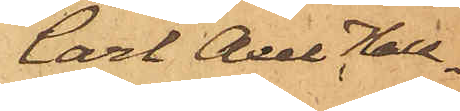Carl Axel Hall¬
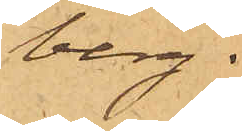berg.
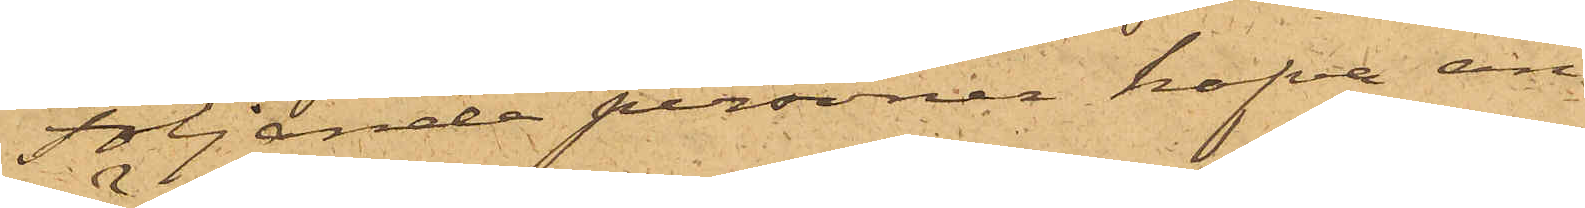Följande personer hafva an¬
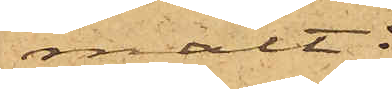mält:
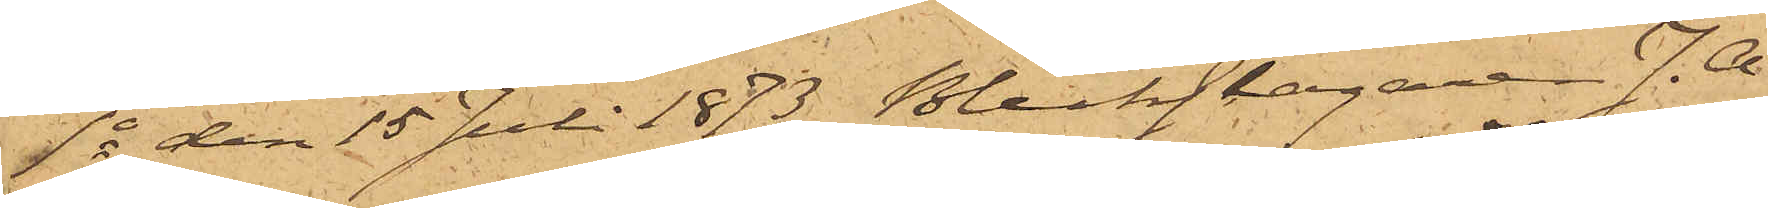1o den 15 Juli 1873 Bleckslagaren J. A.
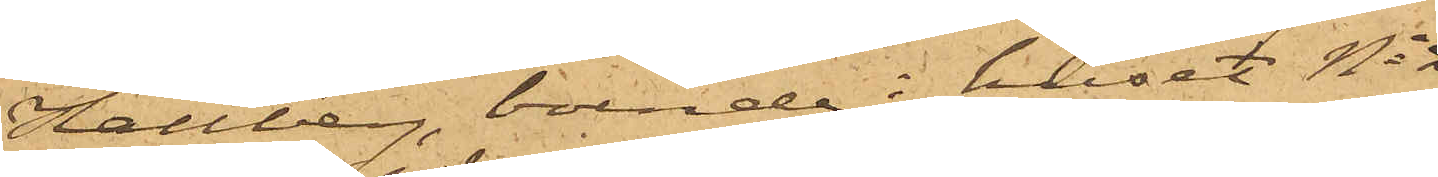Hallberg, boende i huset No
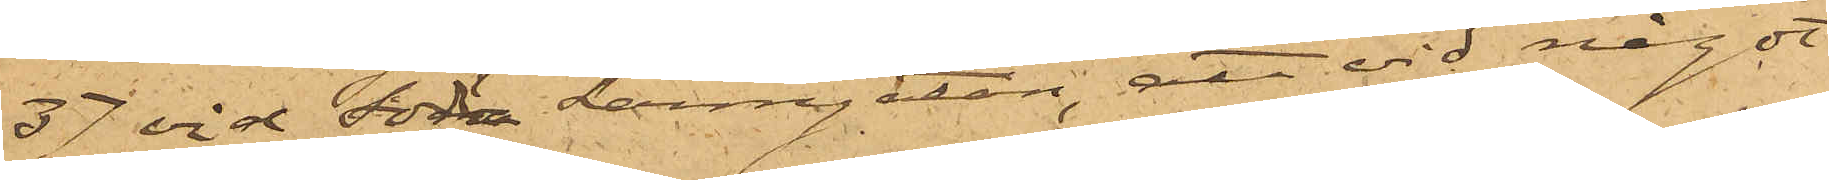37 vid Södra Larmgatan, att vid något
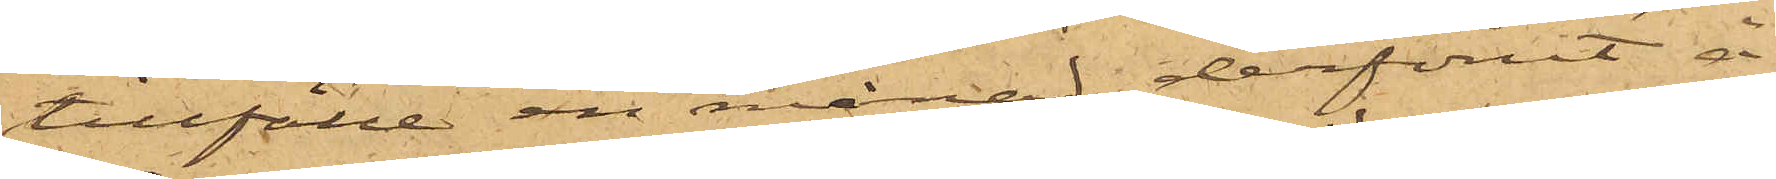tillfälle en månad derförut å
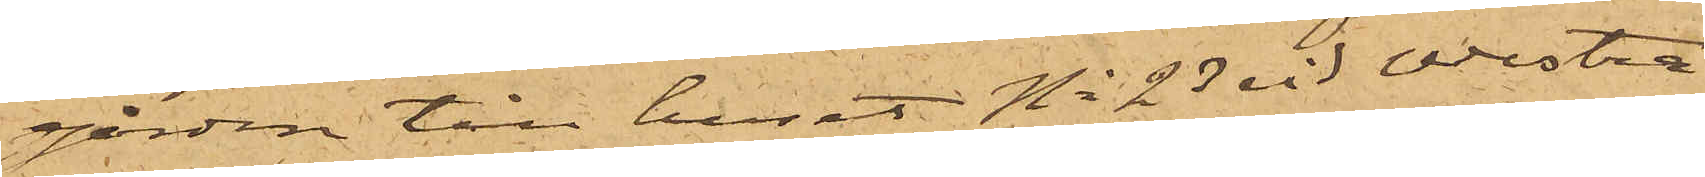gården till huset No 23 vid Westra
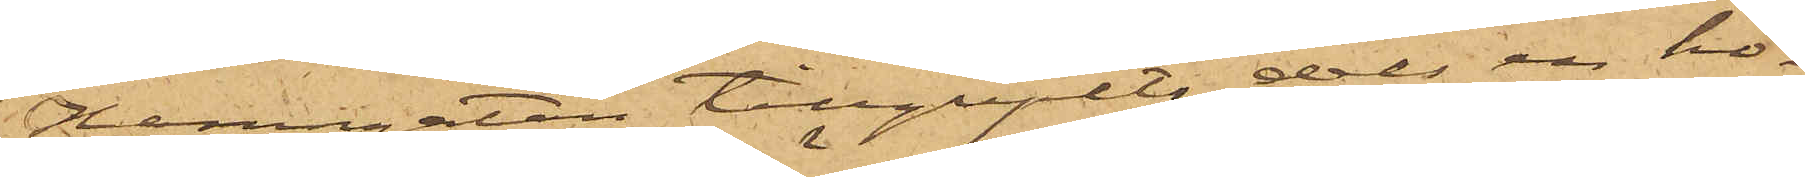Hamngatan tillgripits dels en ho¬
